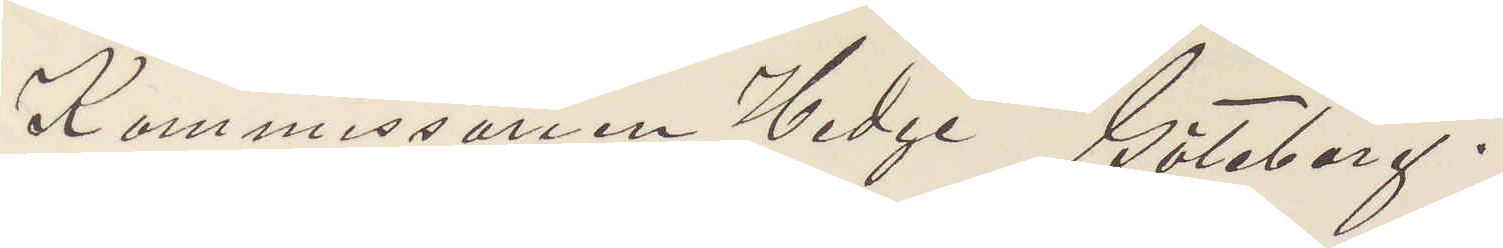Kommissarien Hedge Göteborg.
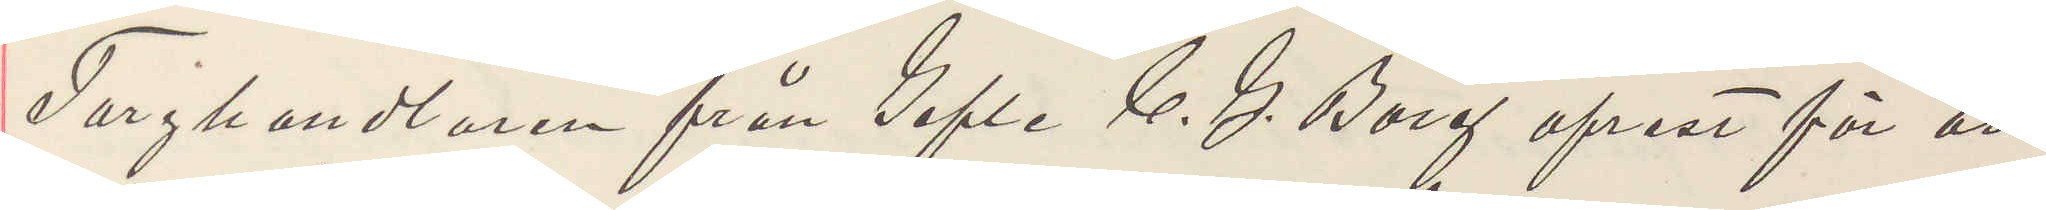Torghandlaren från Gefle C. G. Borg afrest för att
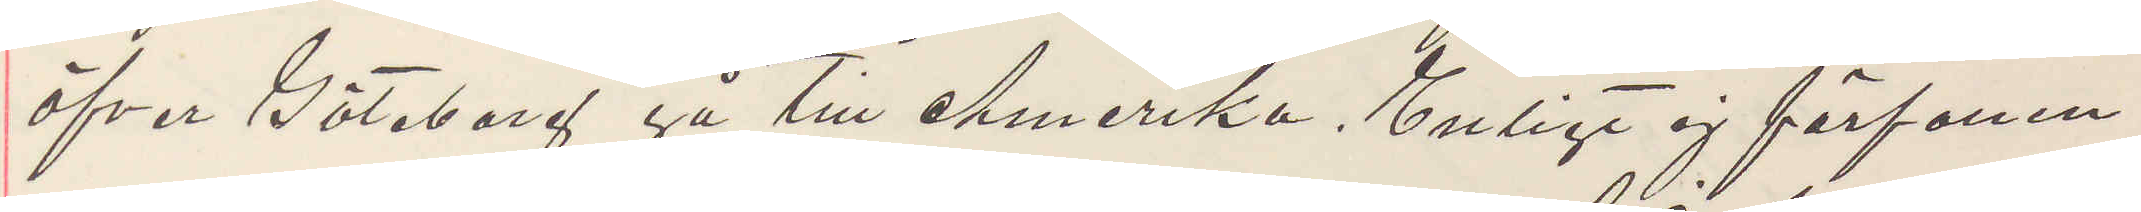öfver Göteborg gå till Amerika. Enligt ej förfallen
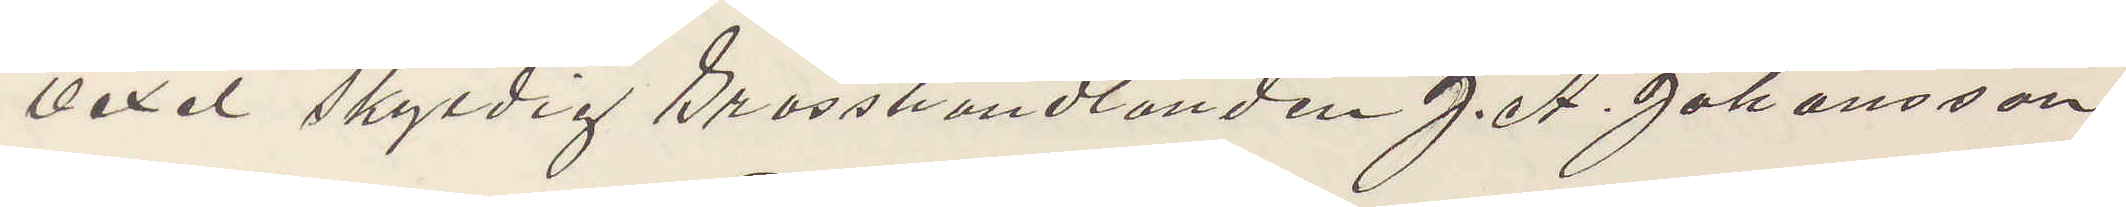vexel skyldig Grosshandlanden J. A. Johansson
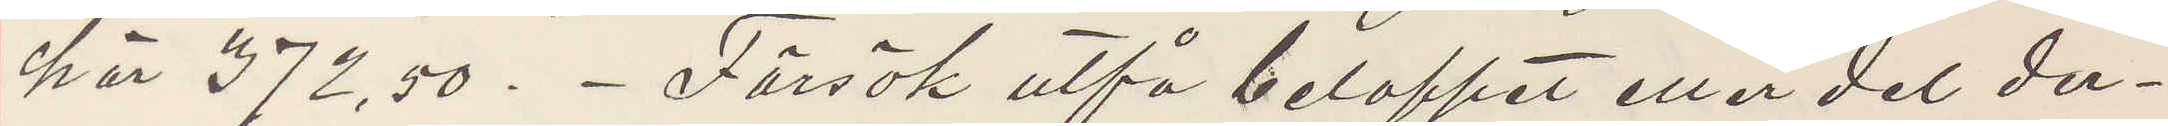här 372,50.- Försök utfå beloppet eller del der¬
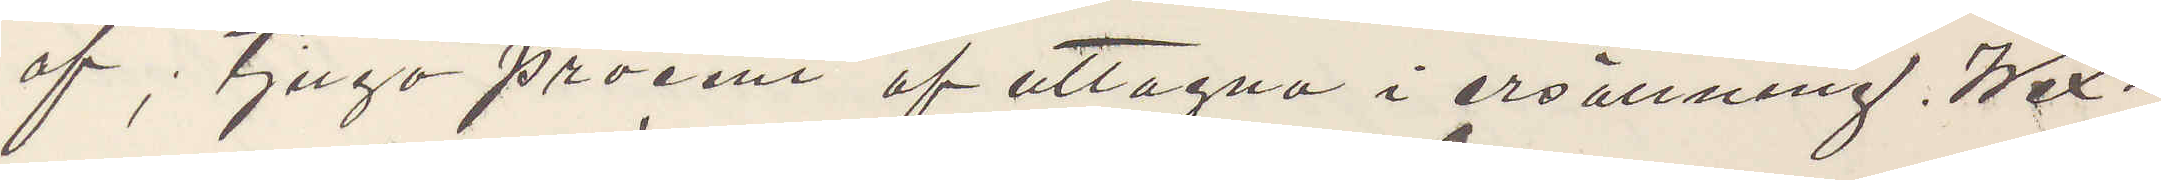af, tjugo procent af uttagna i ersättning, Wex¬
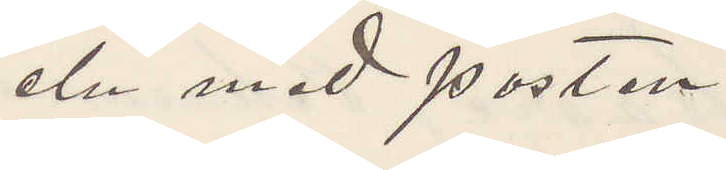eln med posten.
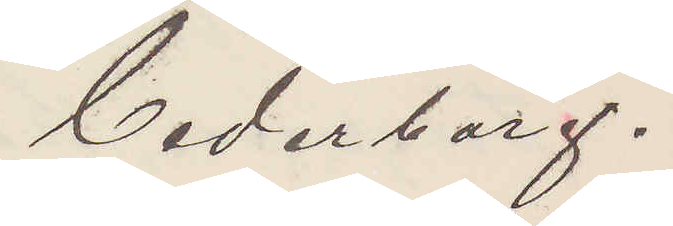Cederborg.
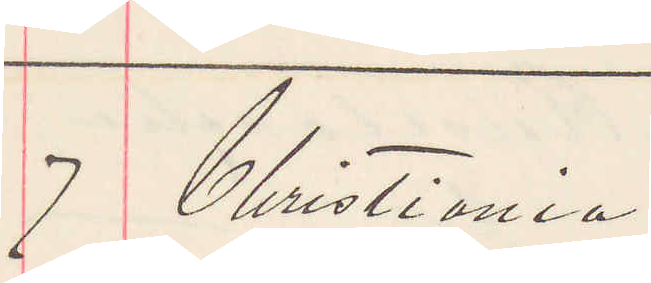7 Christiania
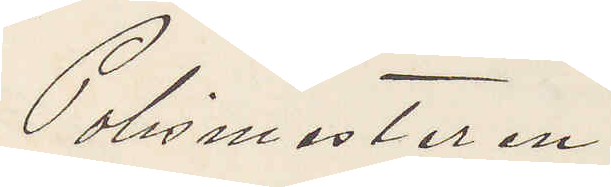Polismästaren
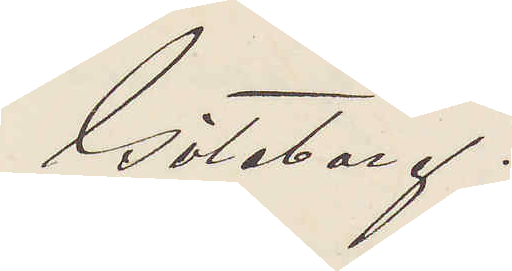Göteborg.
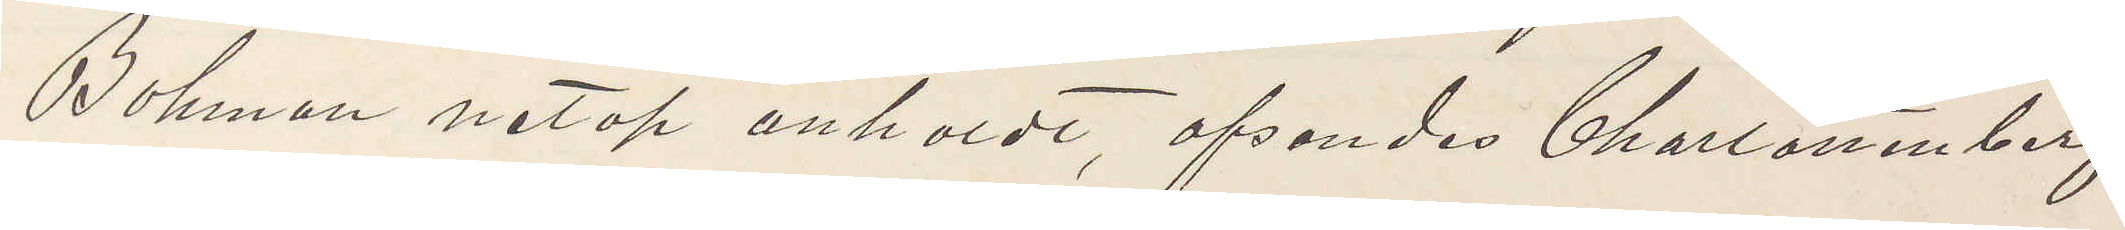Bohman netop anholdt, afsändes Charlottenberg
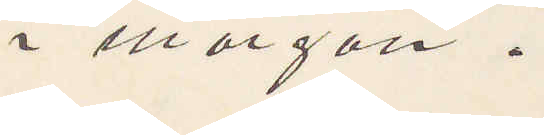i morgon.
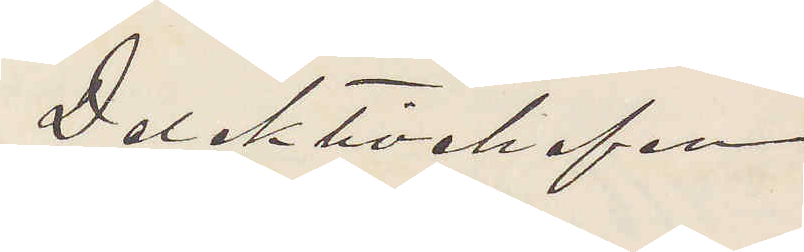Detektivchefen
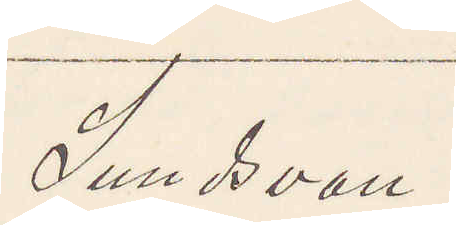Sundsvall
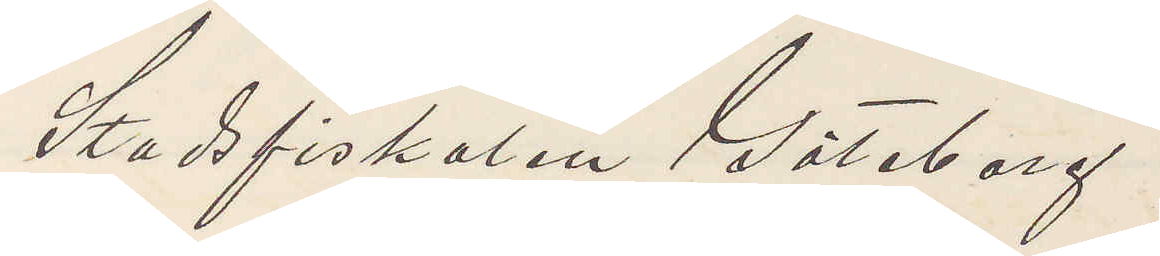Stadsfiskalen Göteborg.
